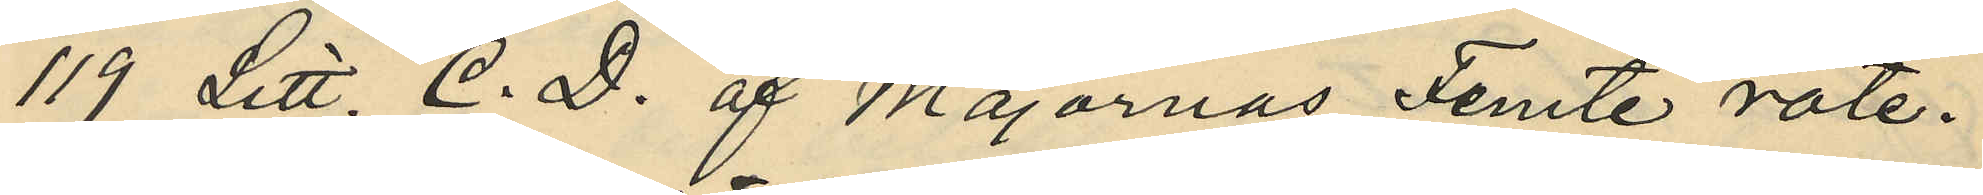119 Litt. C. D. af Majornas Femte rote.
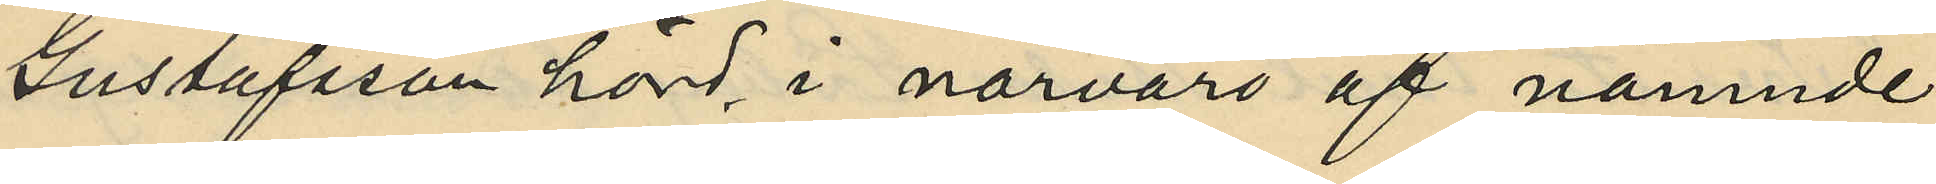Gustafsson hörd, i närvaro af nämnde
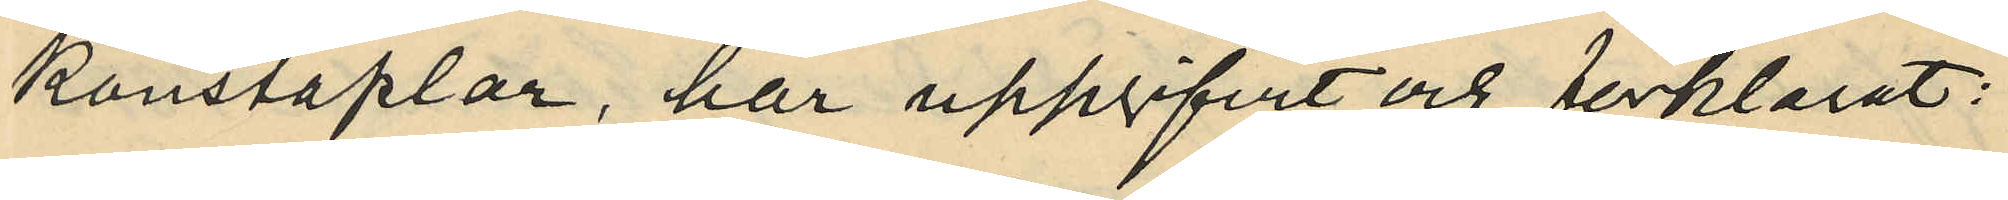konstaplar, har uppgifvit och förklarat:
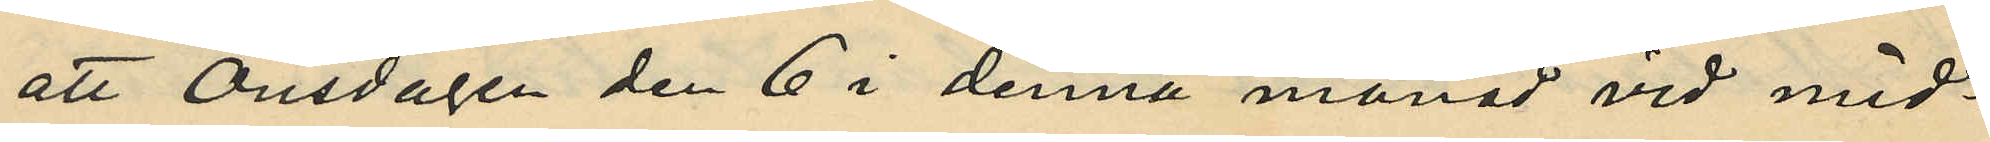att Onsdagen den 6 i denna månad vid mid¬
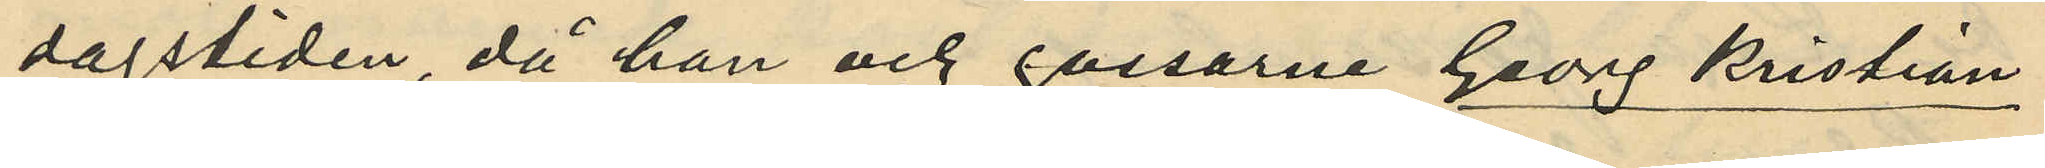dagstiden, då han och gossarne Georg Kristian
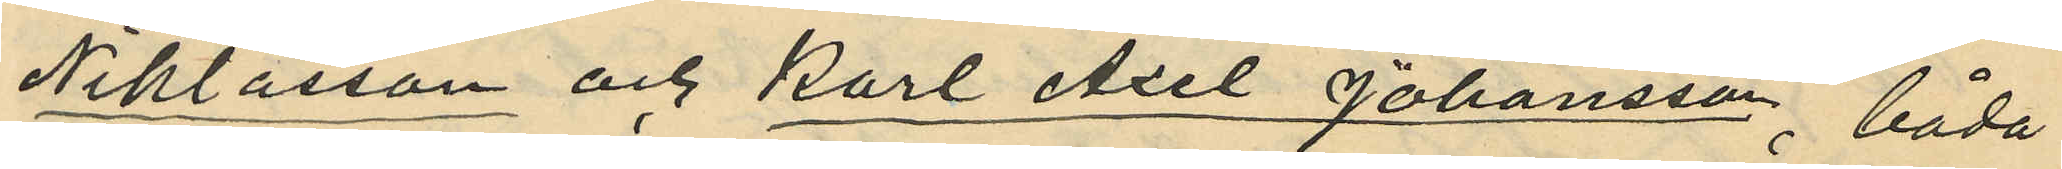Niklasson och Karl Axel Johansson, båda
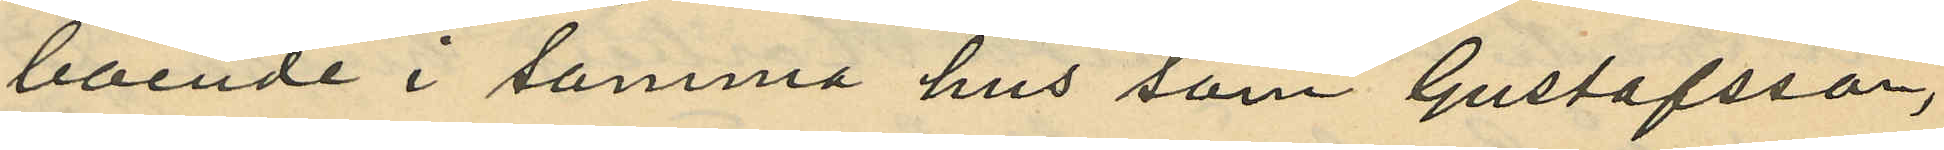boende i samma hus som Gustafsson,
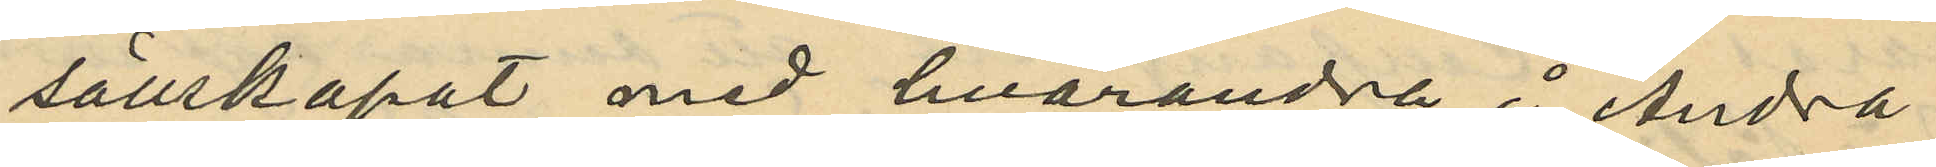sällskapat med hvarandra å Andra
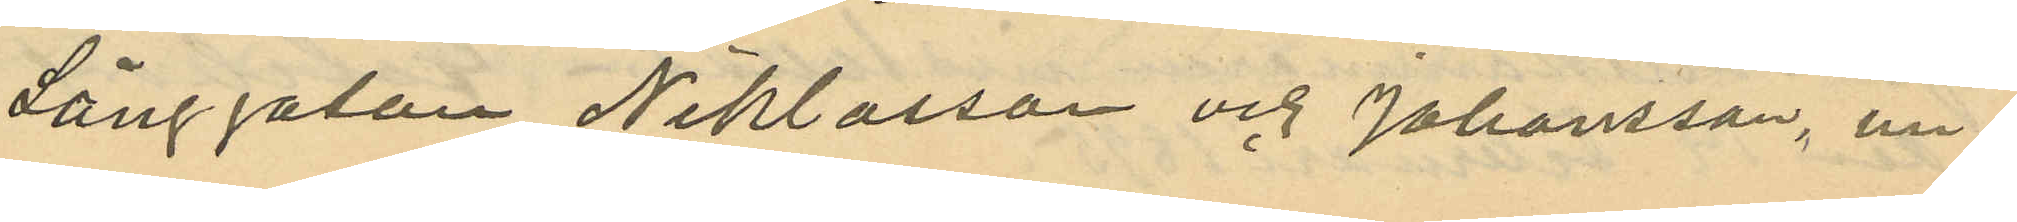Långgatan, Niklasson och Johansson, un¬
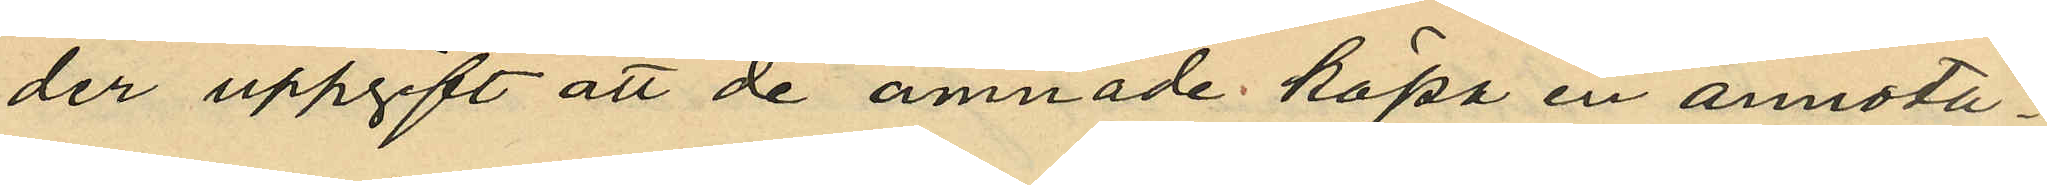der uppgift att de ämnade köpa en annota¬
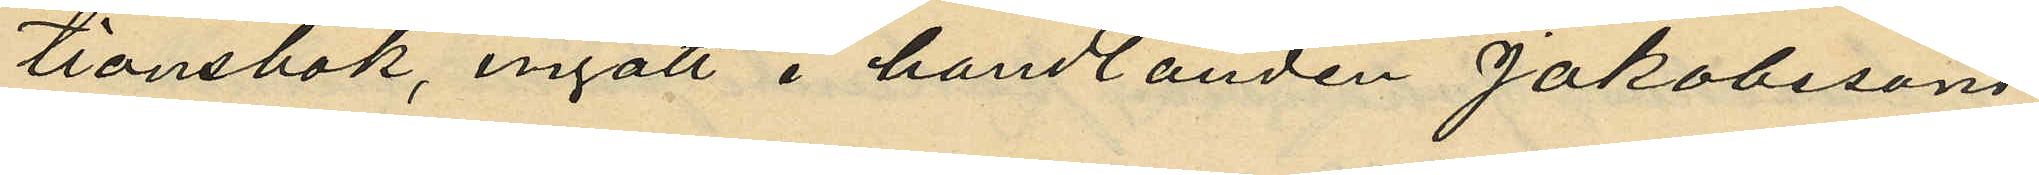tionsbok, ingått i handlanden Jakobssons
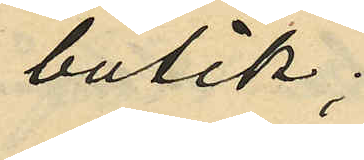butik;
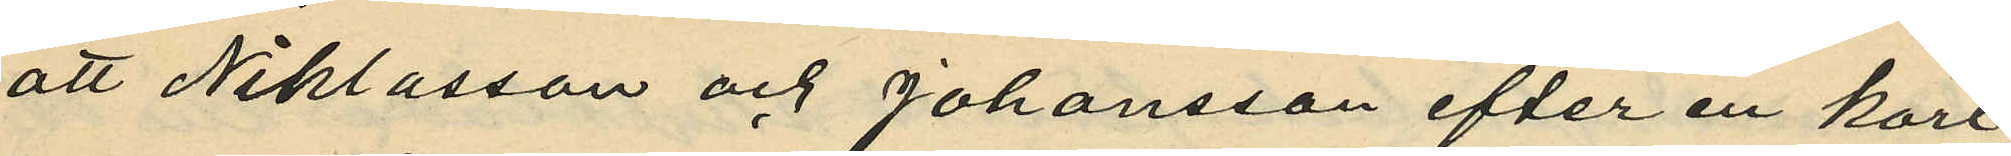att Niklasson och Johansson efter en kort
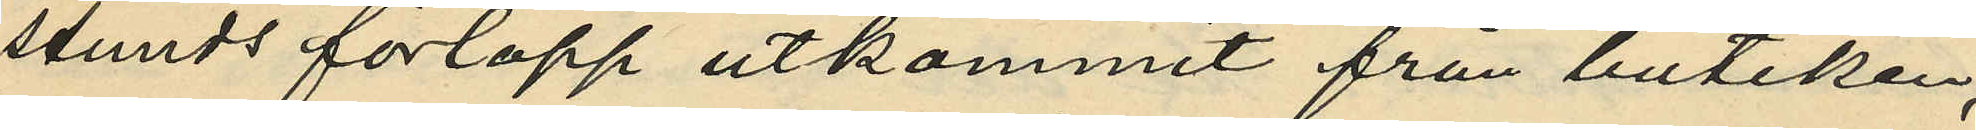stunds förlopp utkommit från butiken,
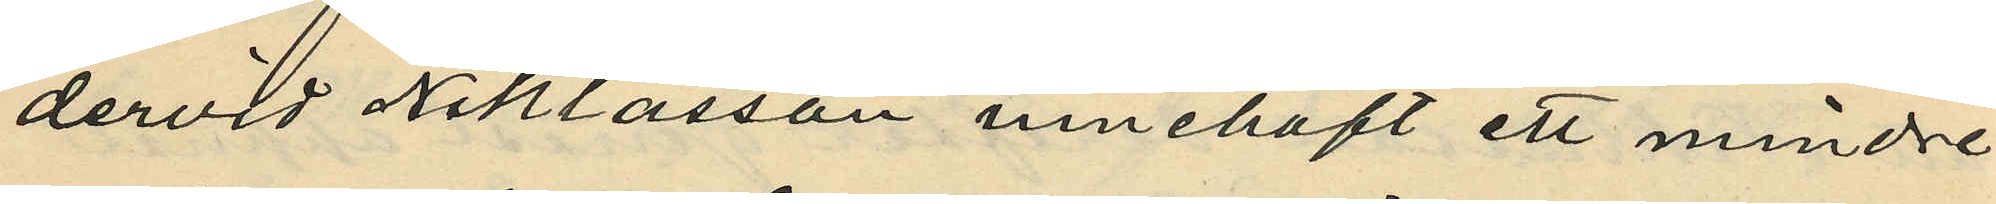dervid Niklasson innehaft ett mindre
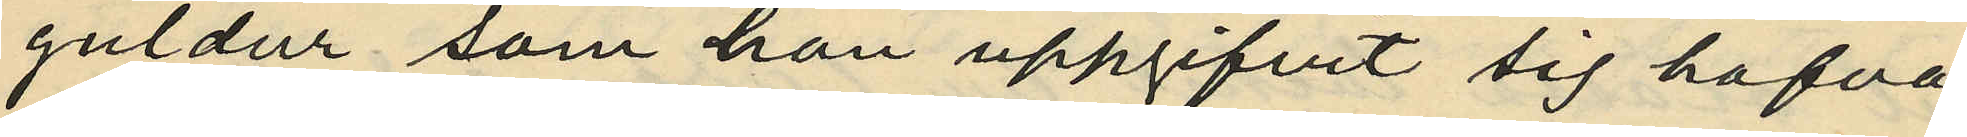guldur som han uppgifvit sig hafva
